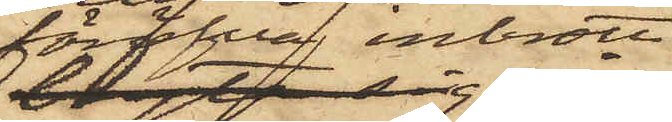föröfva inbrott,
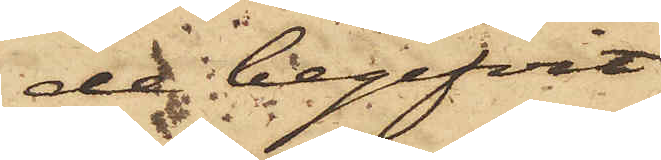de begifvit
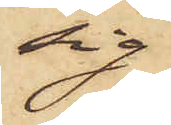sig
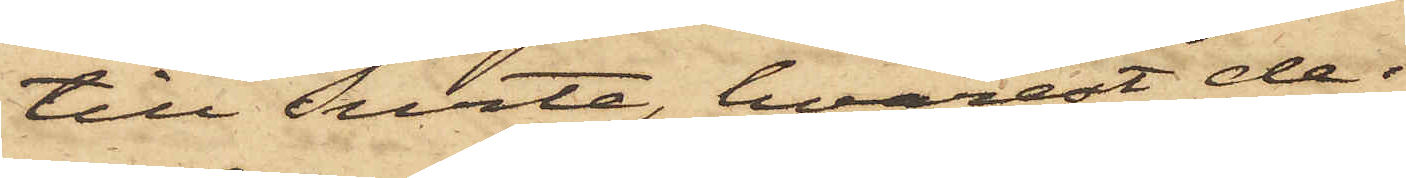till Surte, hvarest de i
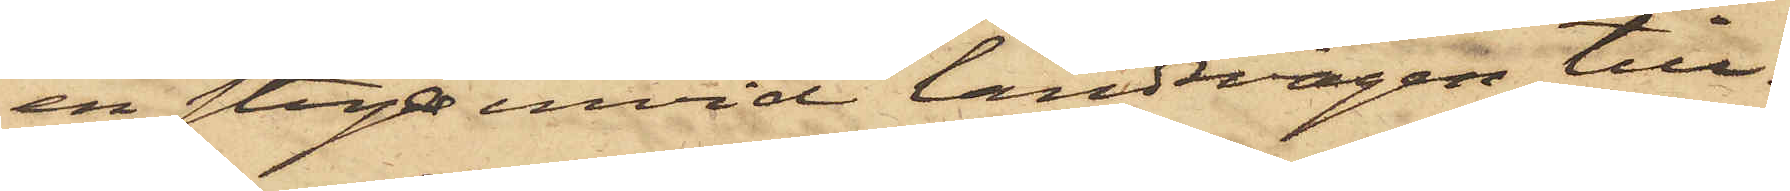en stuga invid landsvägen till¬
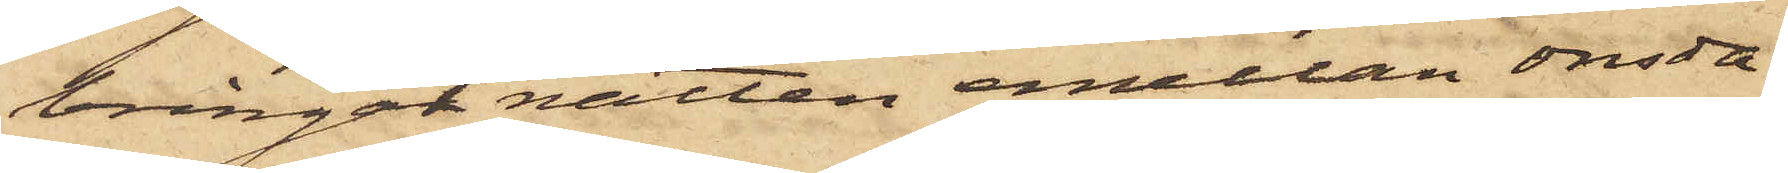bringat natten emellan onsda¬
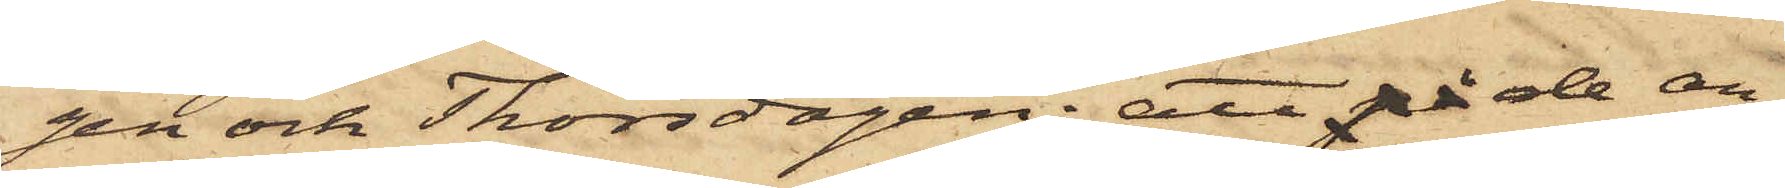gen och Thorsdagen; att på de an¬
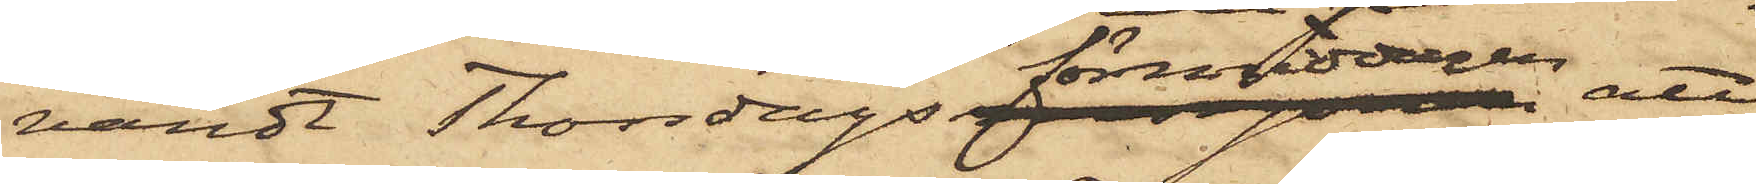vändt Thorsdags förmiddagen att
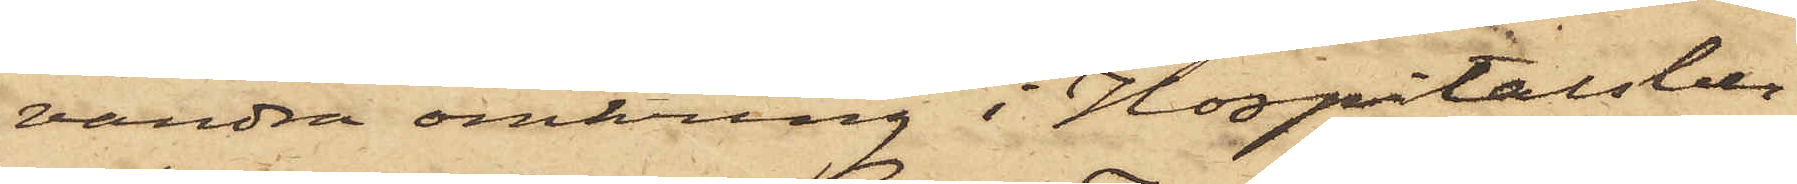vandra omkring i Hospitalsber¬
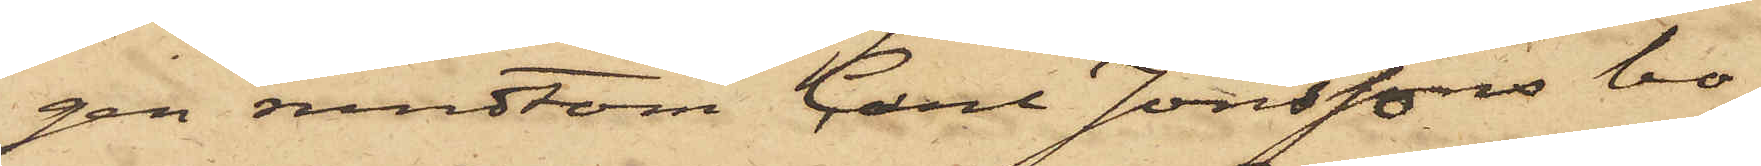gen rundtom Carl Jonssons bo¬
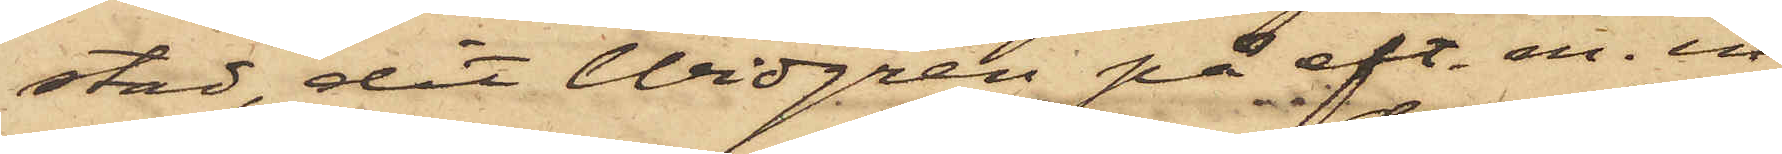stad, dit Widgren på eft. m. in¬
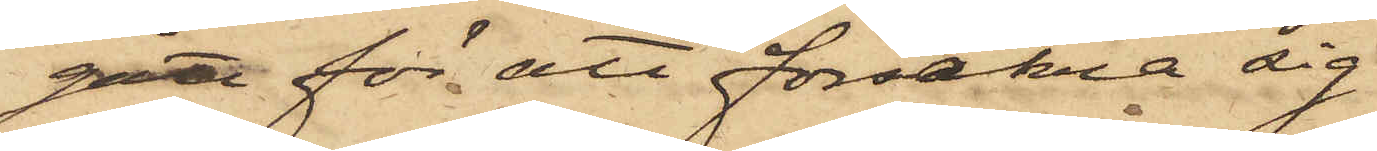gått för att försäkra sig
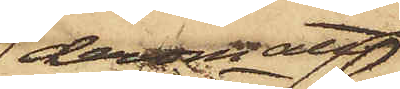derom att
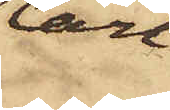Carl
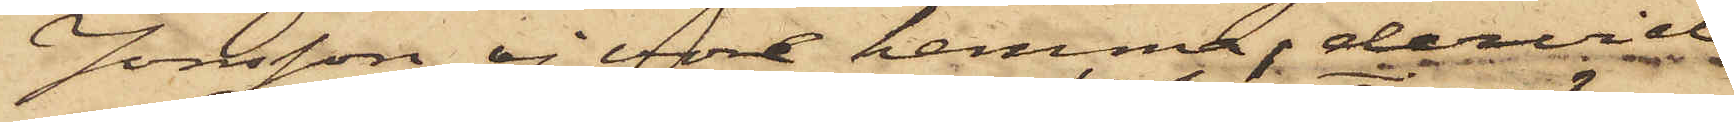Jonsson ej vore hemma, dervid
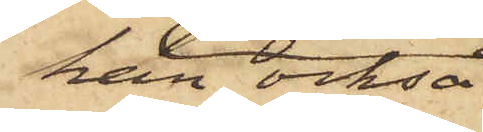han också
